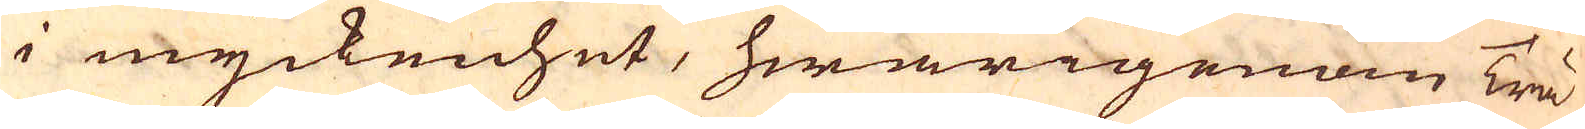i myckenhet, hwarigenom Trä-
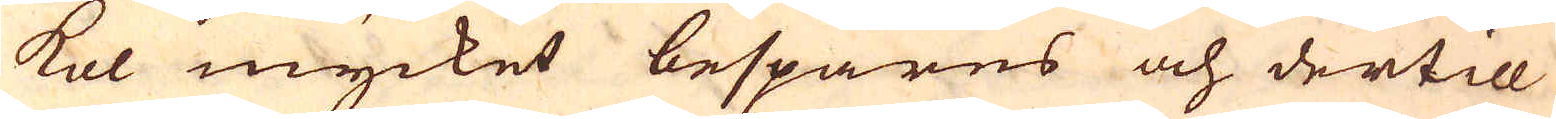kol mycket bespares och dertill
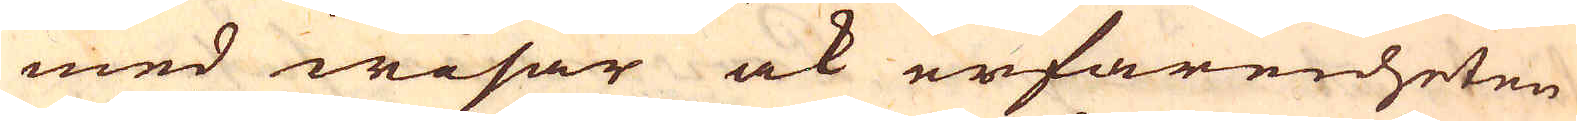med wisar ock erfarenheten
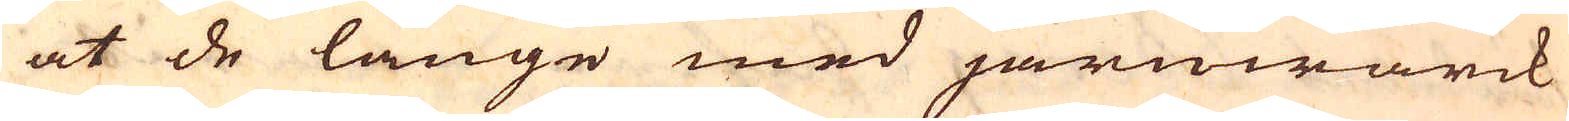at de länge med järnwärck
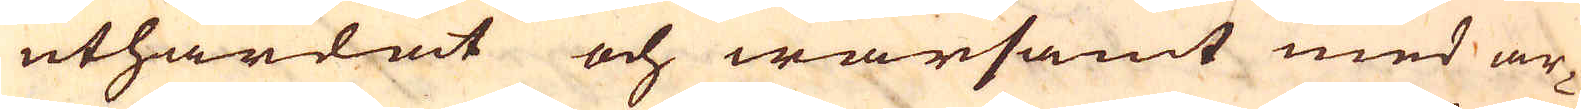uthärdat och warsamt med ar-
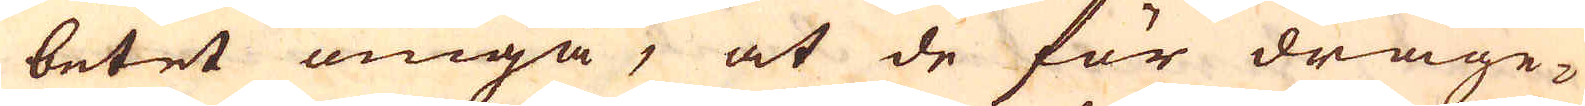betet omgå, at de för dräge-
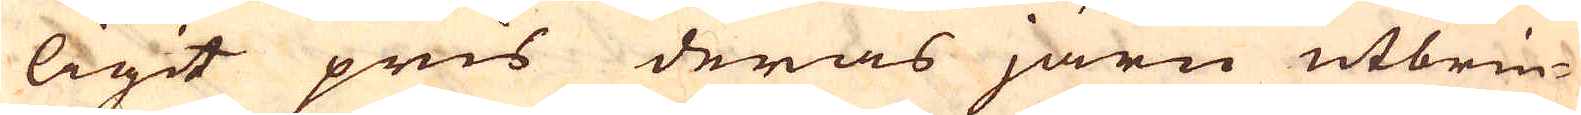ligit pris deras järn utbrin-
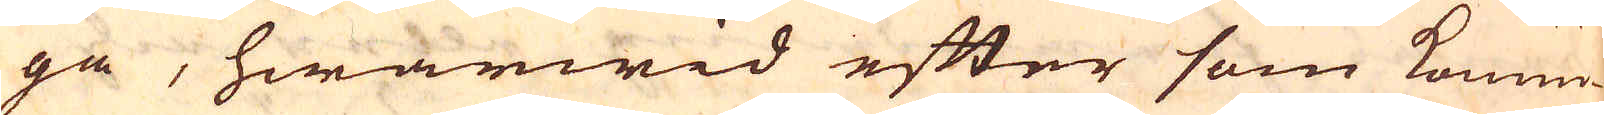ga, hwarwid efter som Konun-
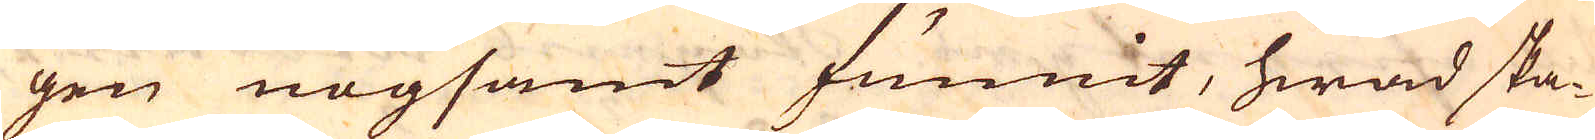gen nogsamt funnit, hwad ska-
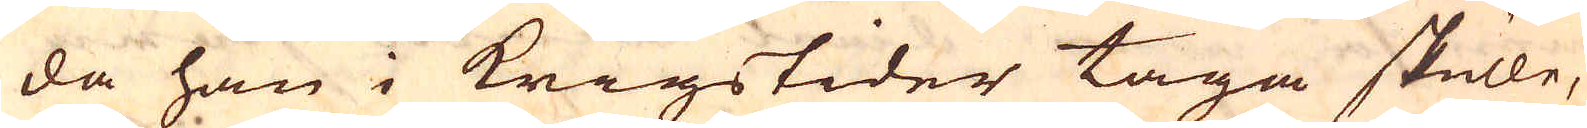da han i Krigstider taga skulle,
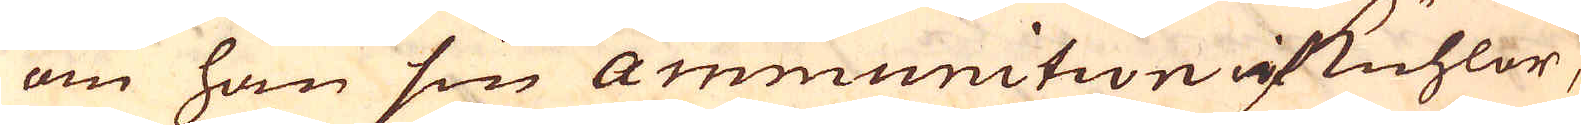om han sin Ammunition af kuhlor,
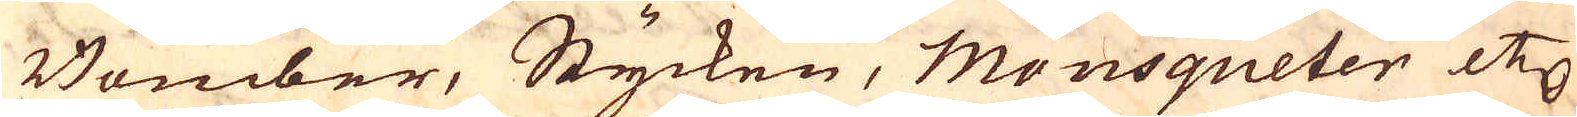Bomber, Stycken, Mousqueter etc
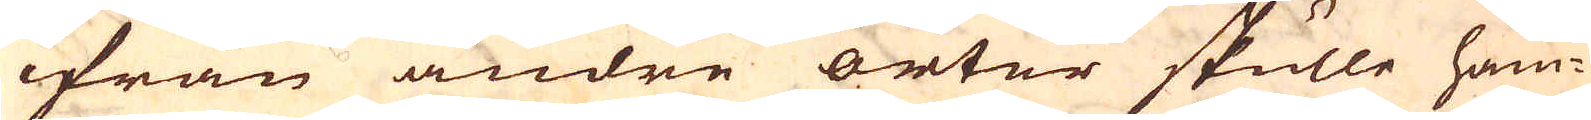ifrån andre orter skulle häm-
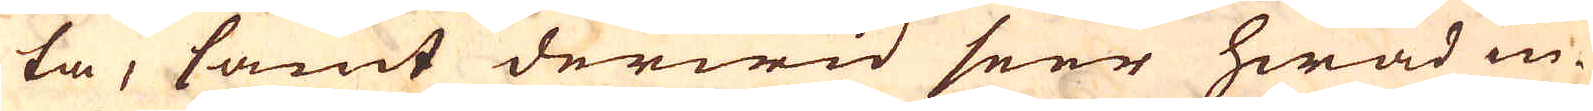ta, samt derwid seer hwad in-
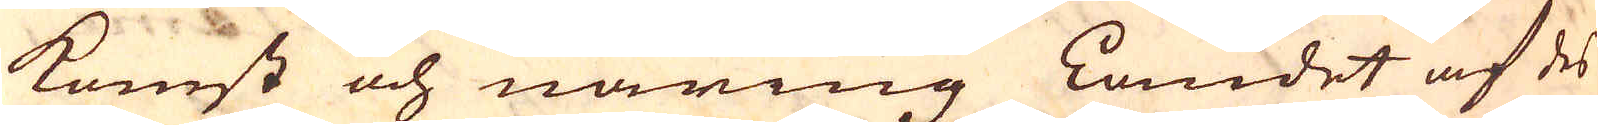komst och näring Landet af des
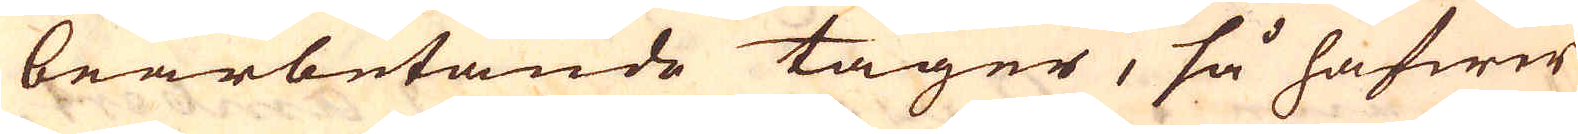bearbetande tager, så hafwer
